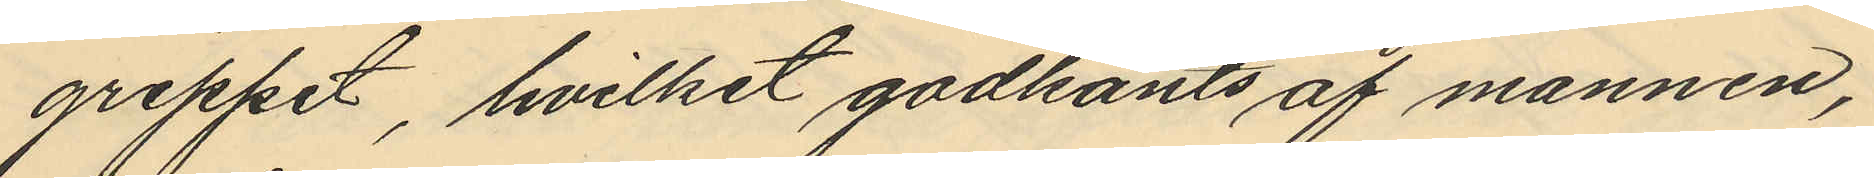greppet, hvilket godkänts af mannen,
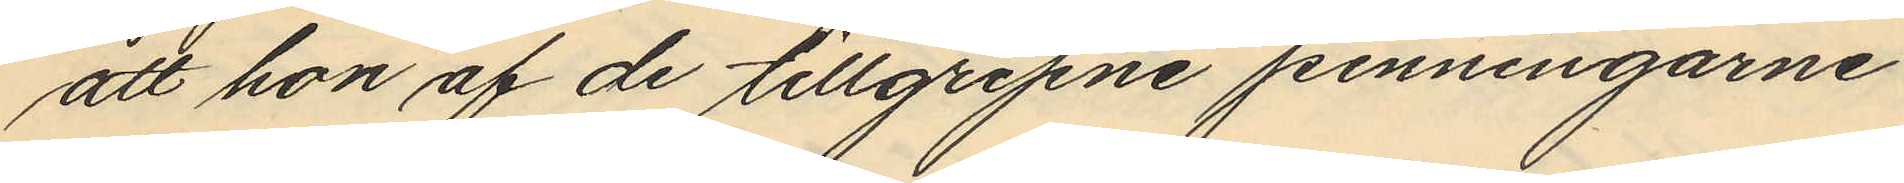att hon af de tillgripne penningarne
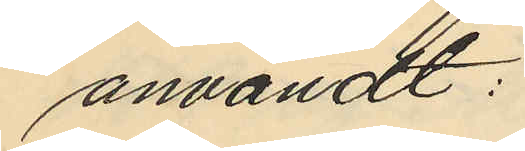användt:
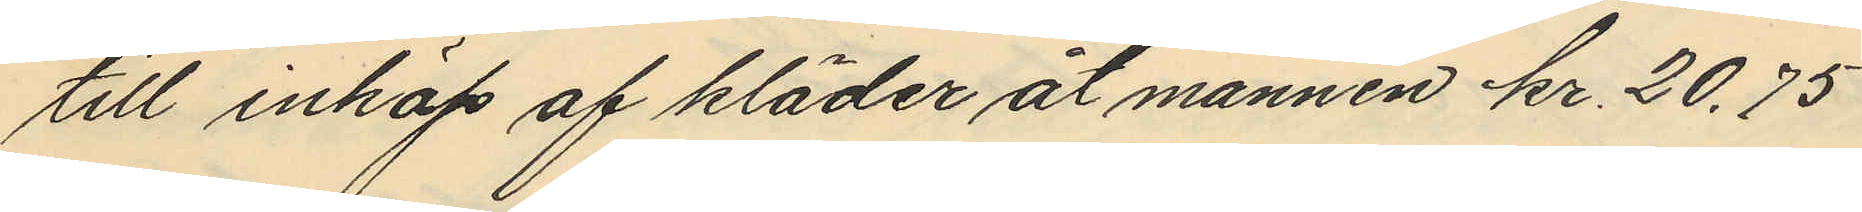till inköp af kläder åt mannen kr. 20,75
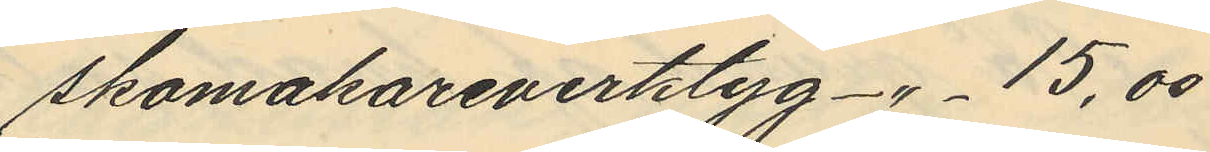skomakareverktyg -"- 15,00
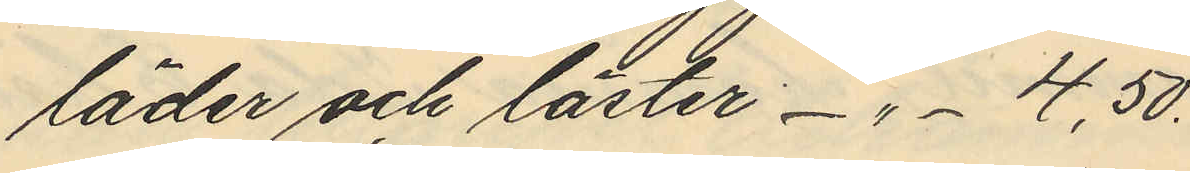läder och läster -"- 4,50.
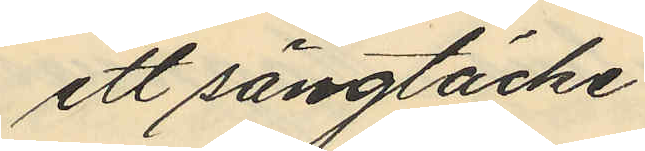ett sängtäcke
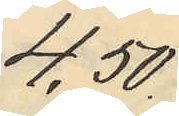4,50
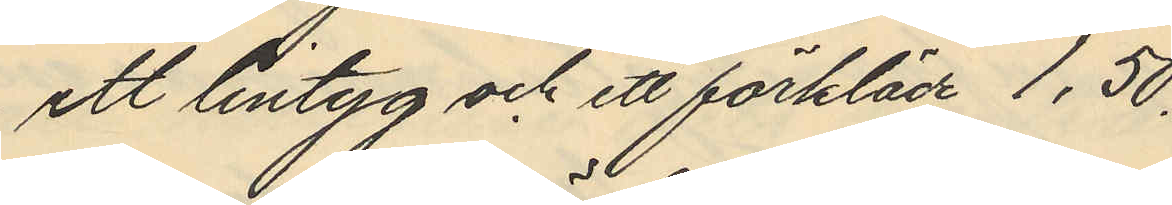ett lintyg och ett förkläde 1,50.
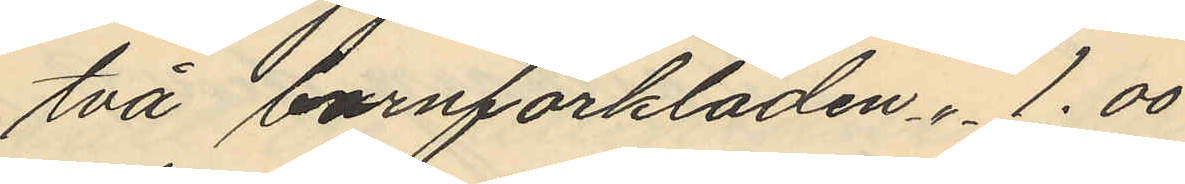två barnförkläden -"- 1.00
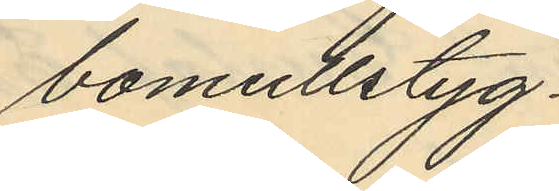bomullstyg
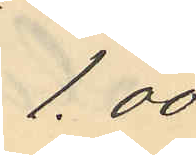1.00
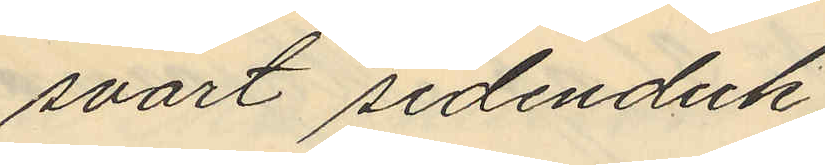svart sidenduk
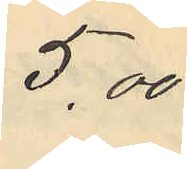5,00
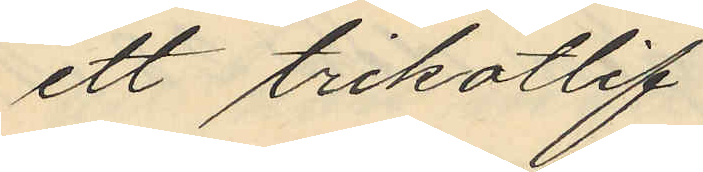ett trikotlif
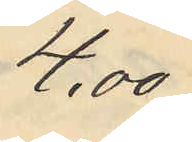4,00
